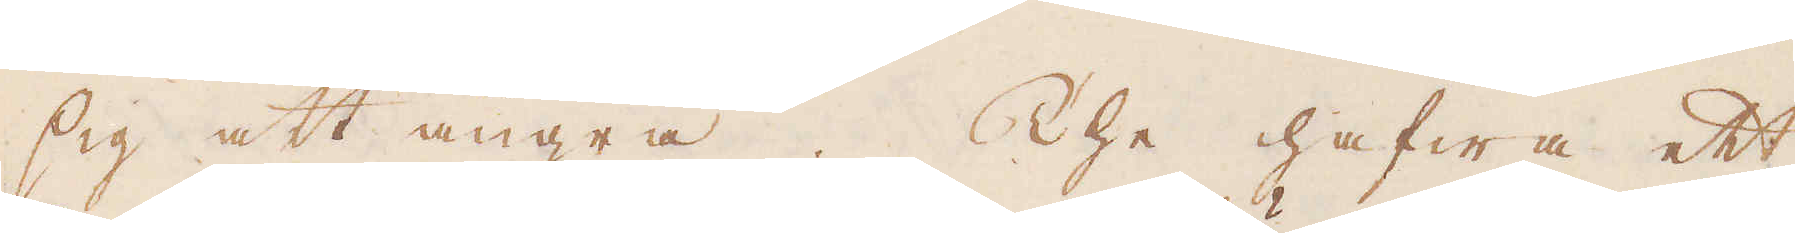sig att ångra. The hafwa ett
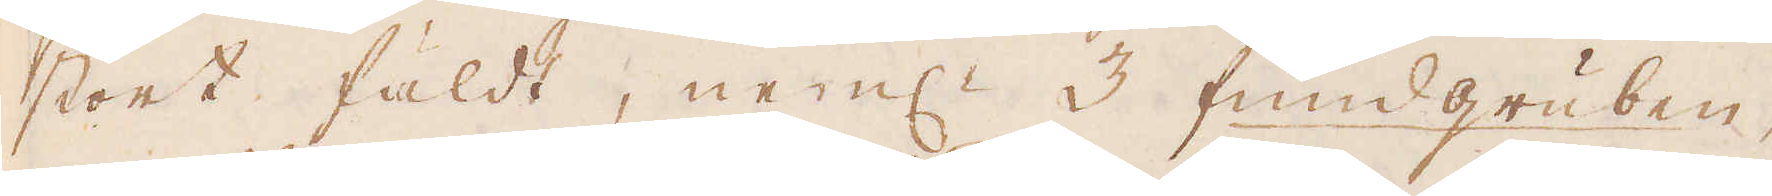stort fäldt, neml:n 3 fundgruben,
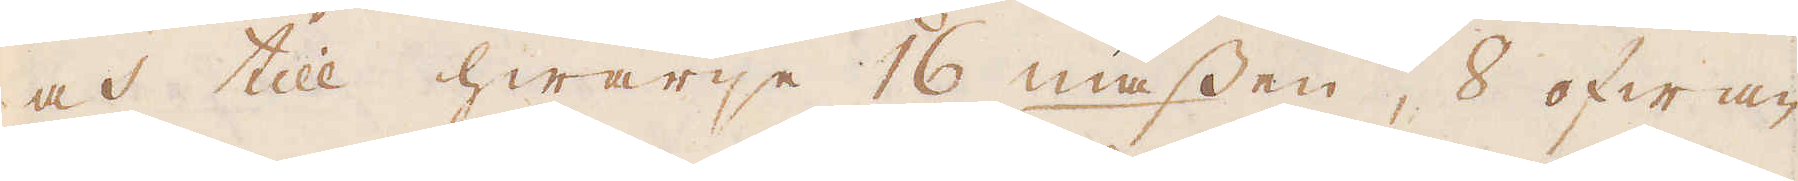och till hwarje 16 miessen, 8 ofwan
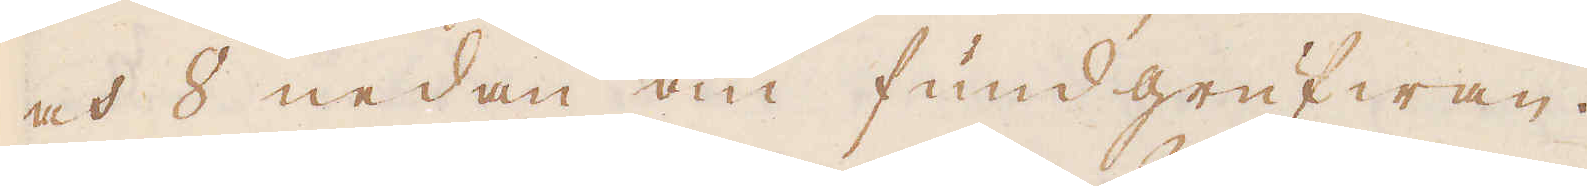och 8 nedan om fundgrufwan.
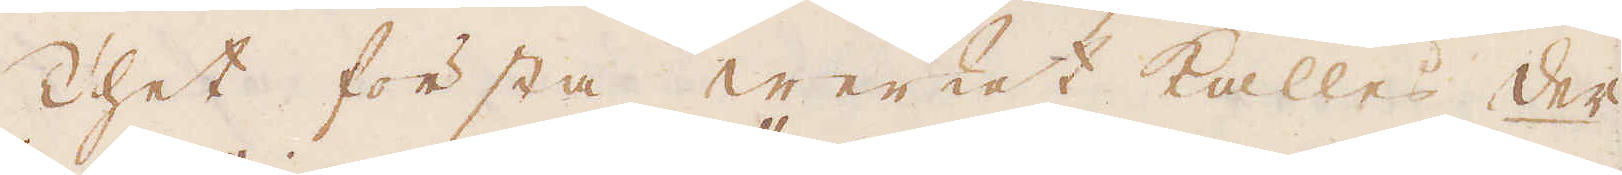Thet första werket kallas der
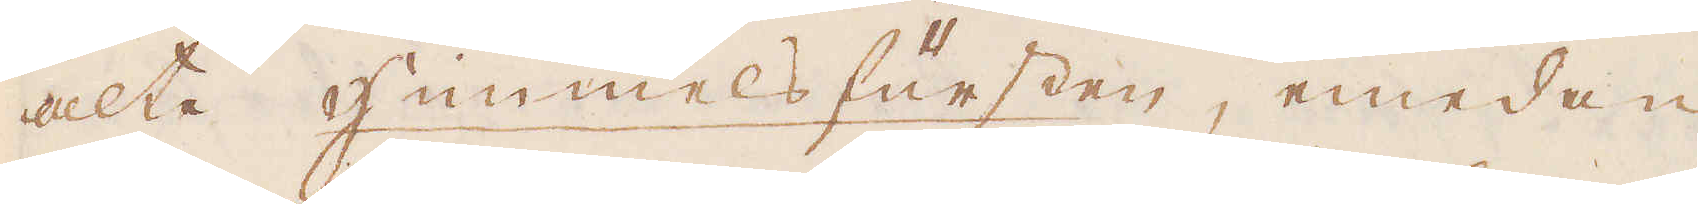alte Himmelsfursten, emedan
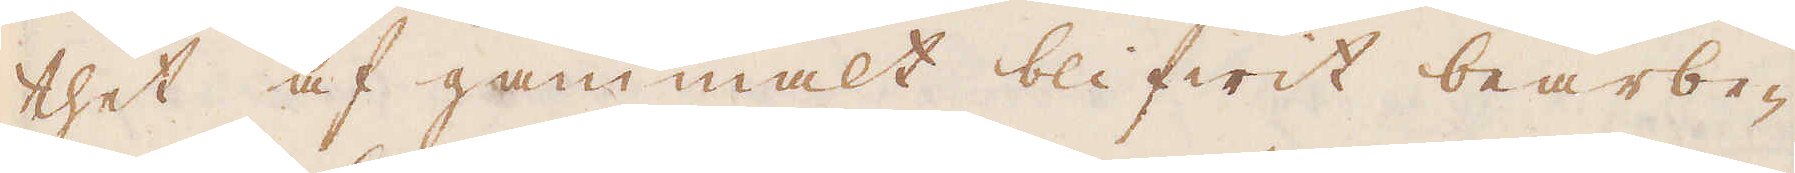thet af gammalt blifwit bearbe-
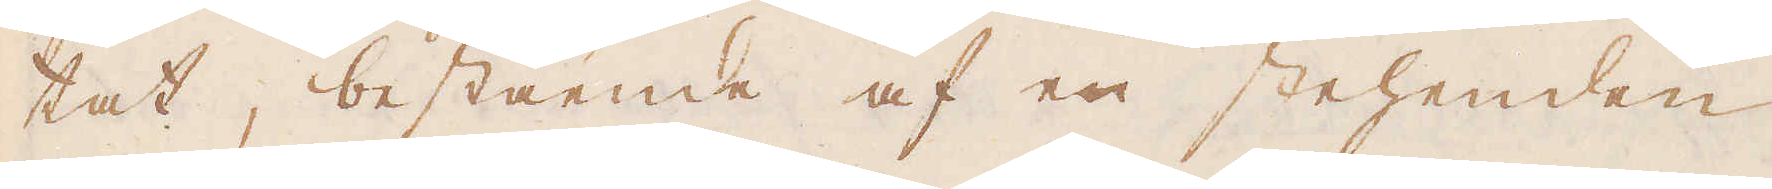tat, bestående af en stehenden
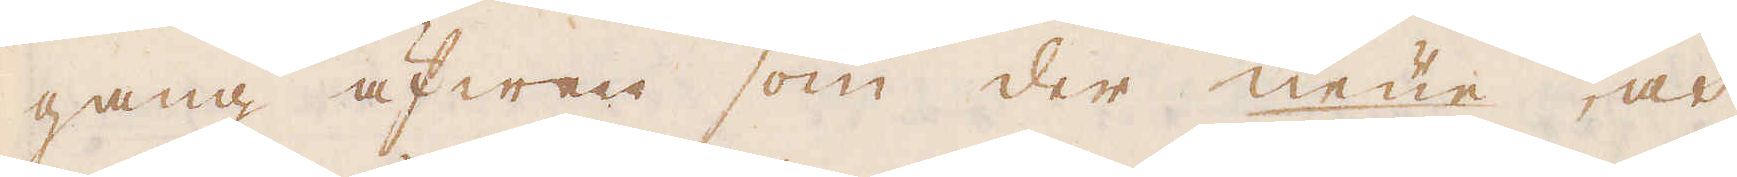gang äfwen som der neüe, och
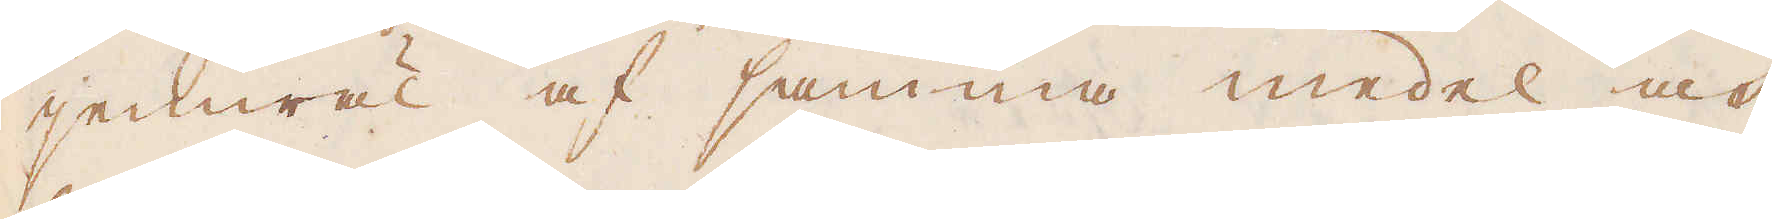jemwäl af samma medel och
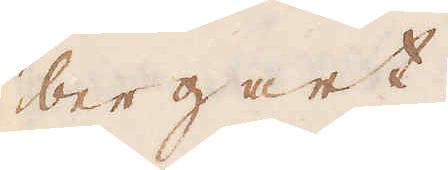bergart.
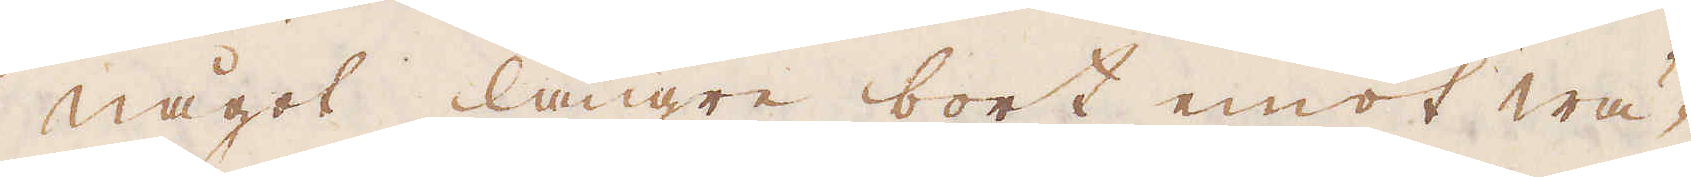Något längre bort emot wä-
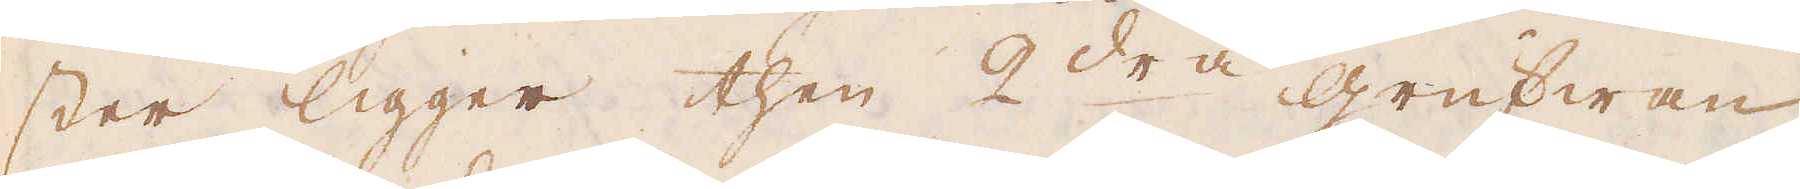ster ligger then 2dra grufwan
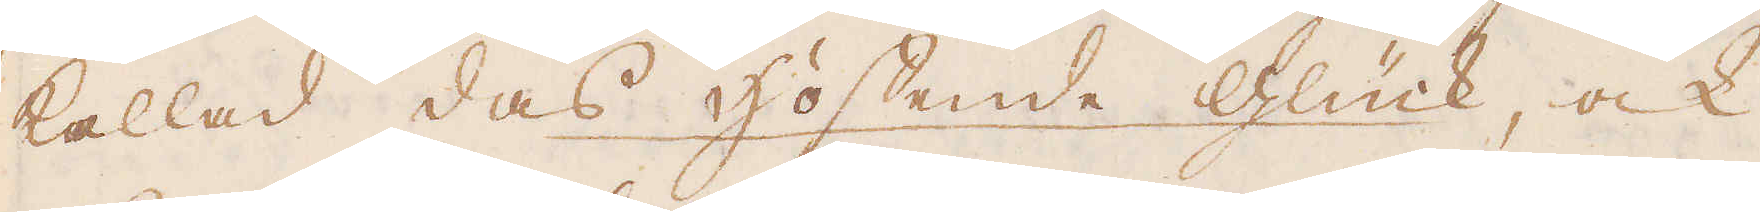kallad das Höffende Glück, ock
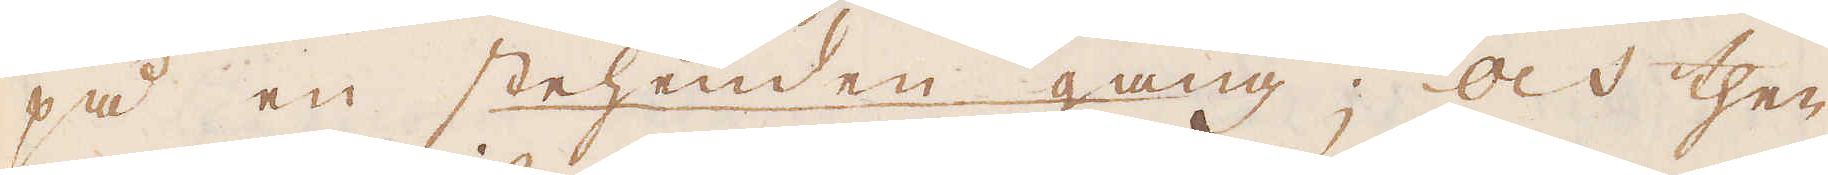på en stehenden gang; och then
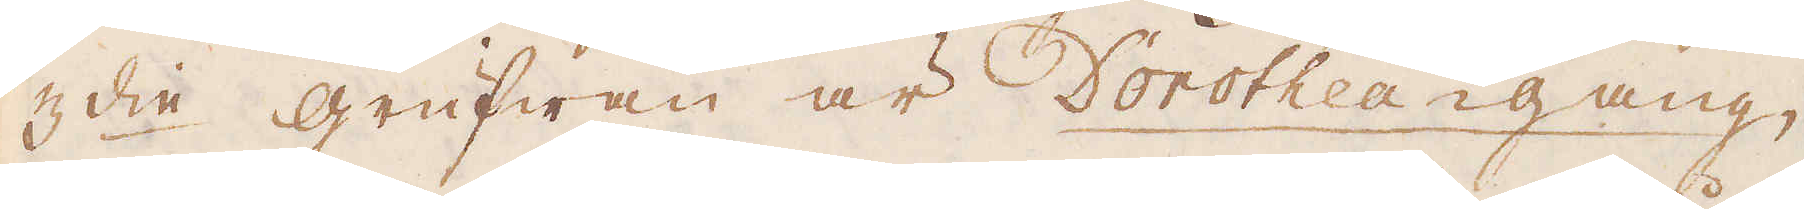3:die grufwan är Dorothea gang,
